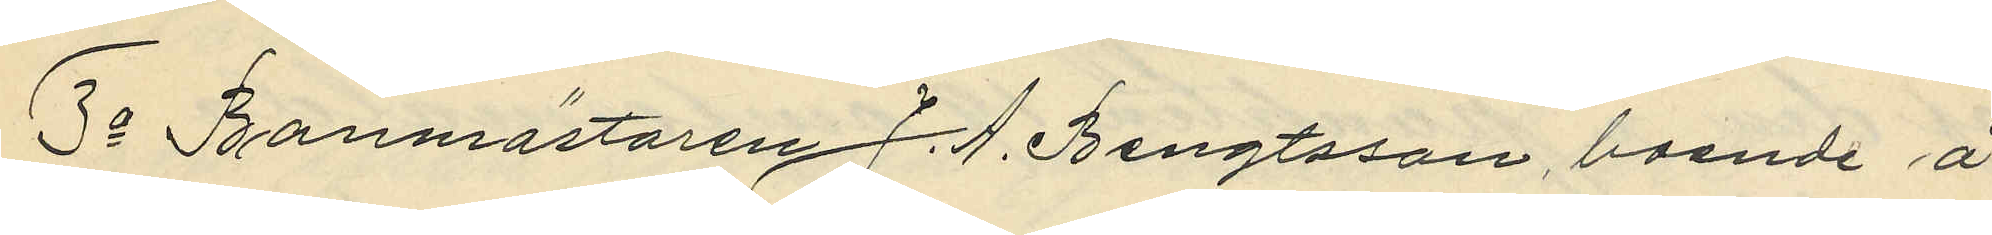3o Banmästaren J. A. Bengtsson, boende å
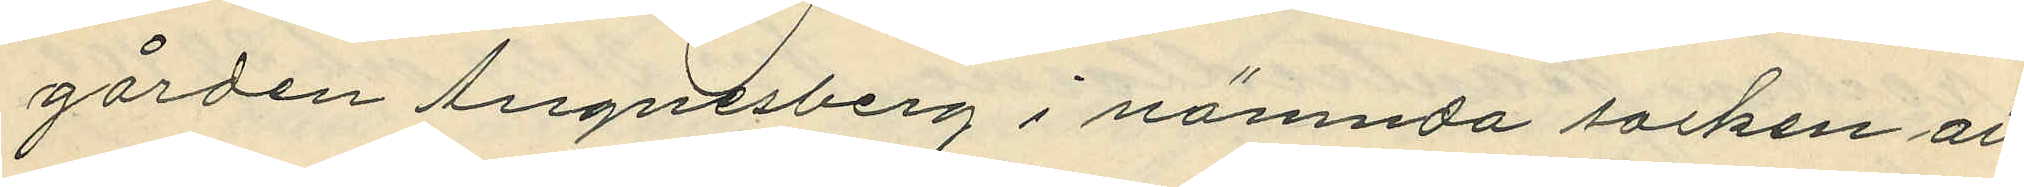gården Agnesberg i nämnda socken att
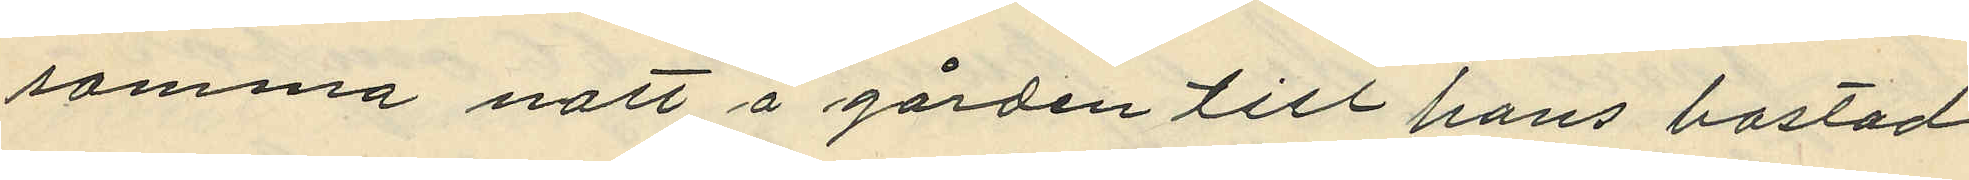samma natt å gården till hans bostad
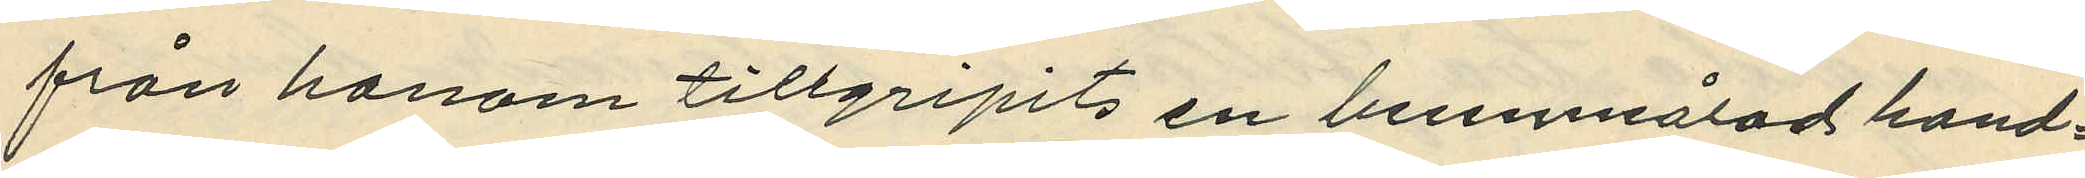från honom tillgripits en brunmålad hand¬
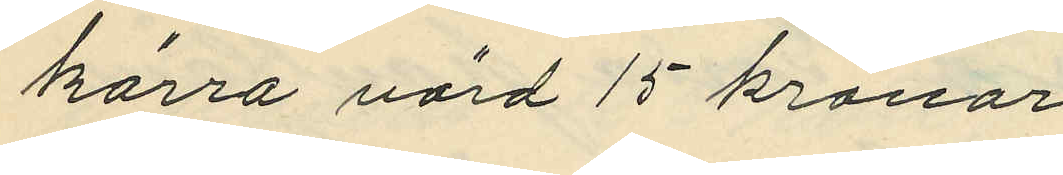kärra värd 15 kronor.
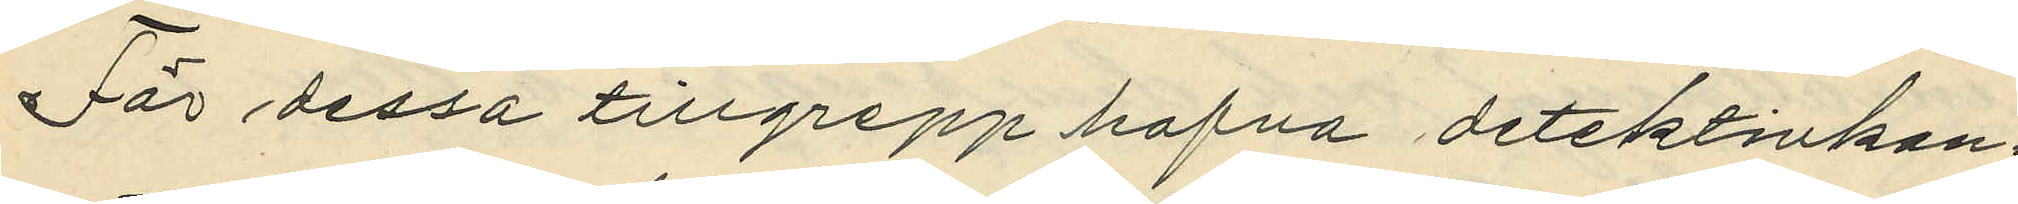För dessa tillgrepp hafva detektivkon¬
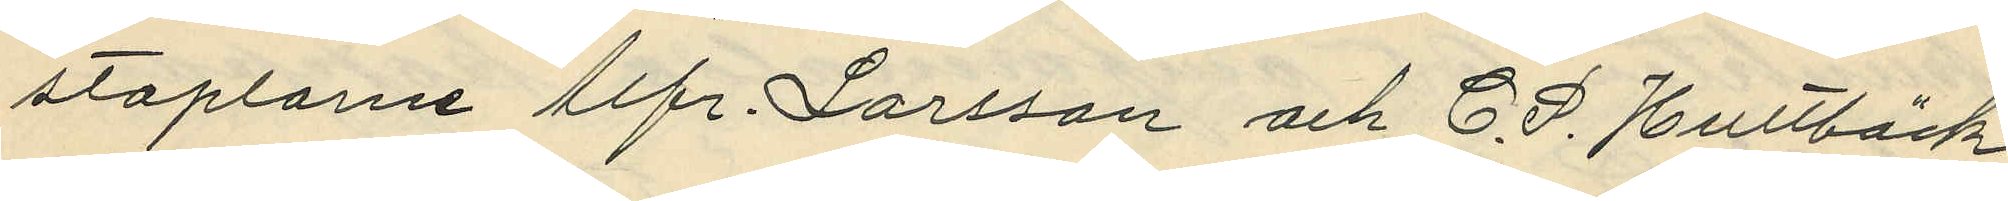staplarne Alfr. Larsson och C. P. Hultbäck
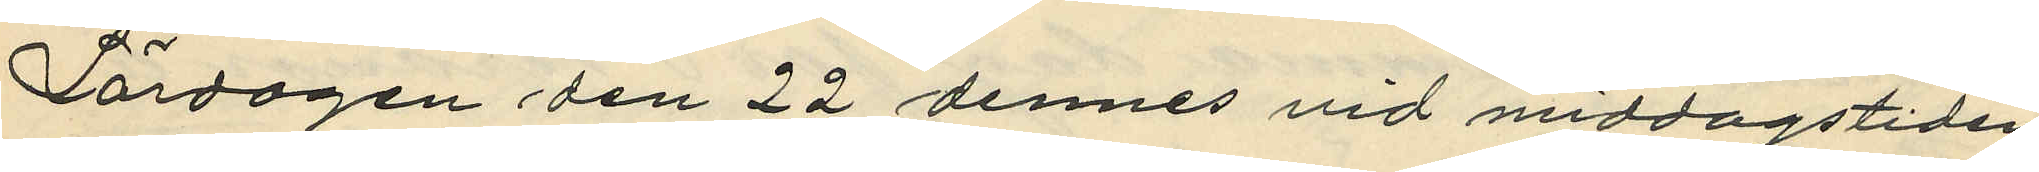Lördagen den 22 dennes vid middagstiden
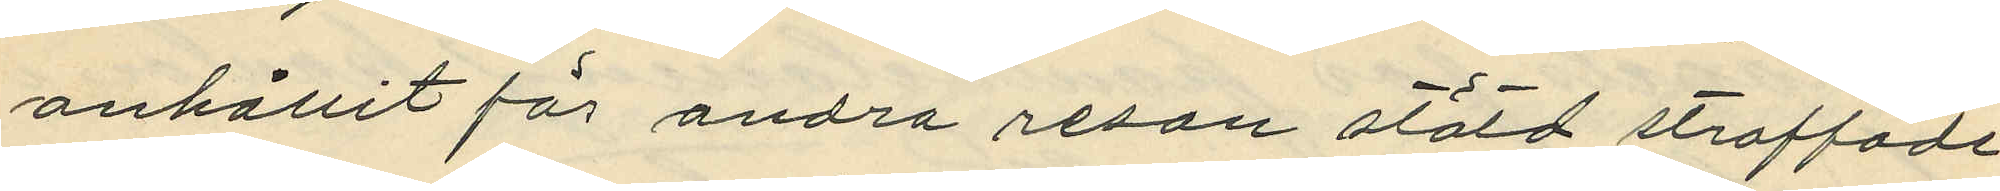anhållit för andra resan stöld straffade
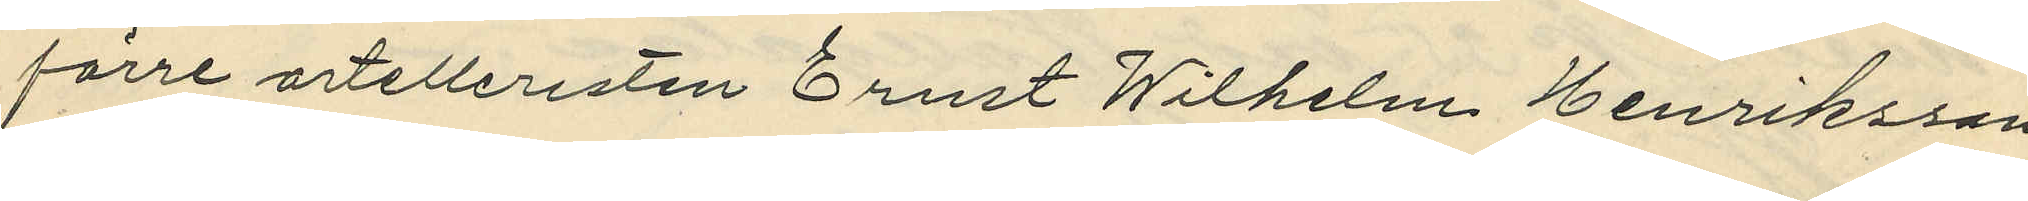förre artelleristen Ernst Wilhelm Henriksson
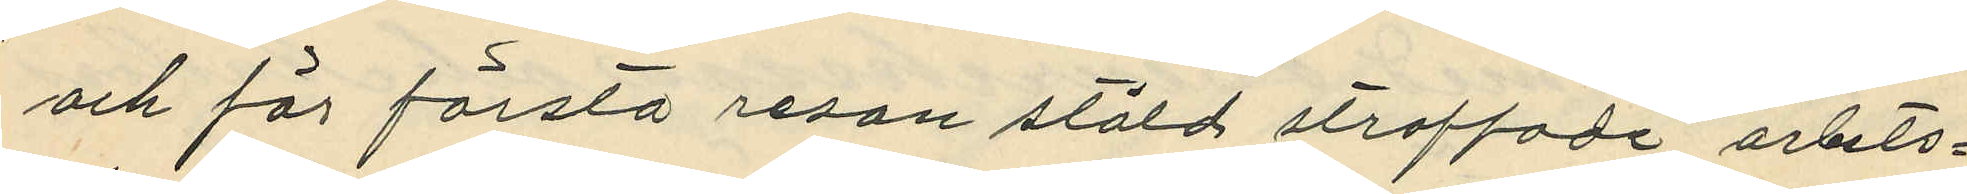och för första resan stöld straffade arbets¬
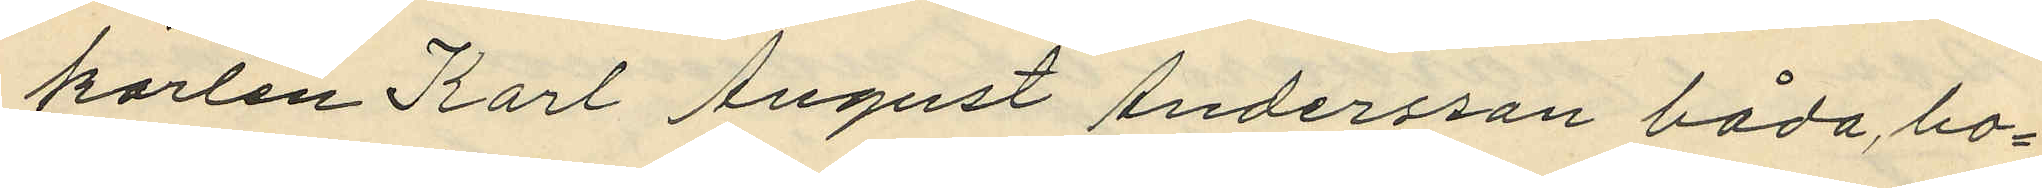karlen Karl August Andersson båda bo¬
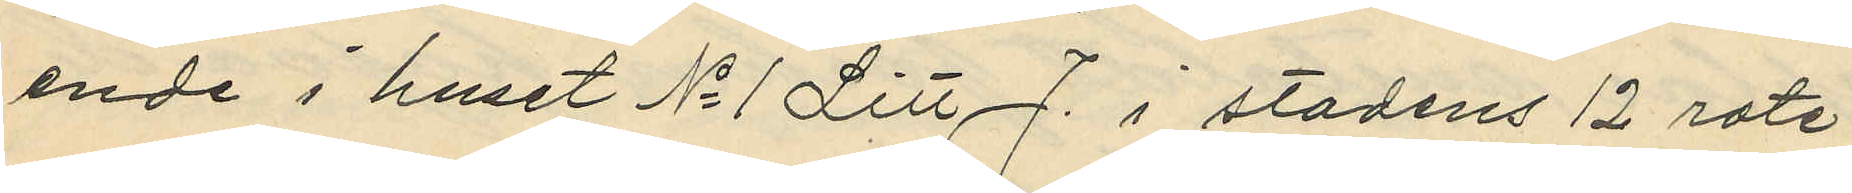ende i huset No 1 Litt. J. i stadens 12 rote,
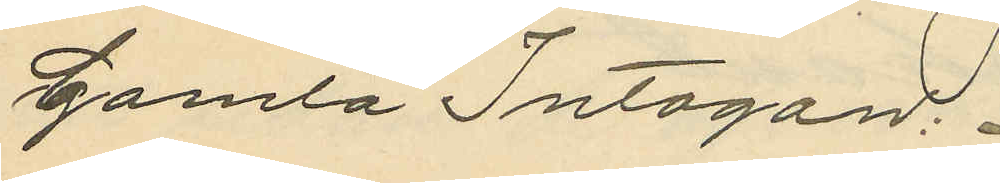Gamla Intagan:
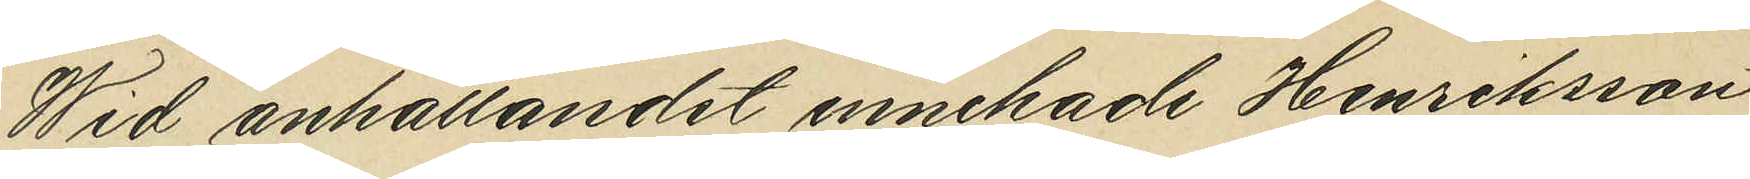Wid anhållandet innehade Henriksson
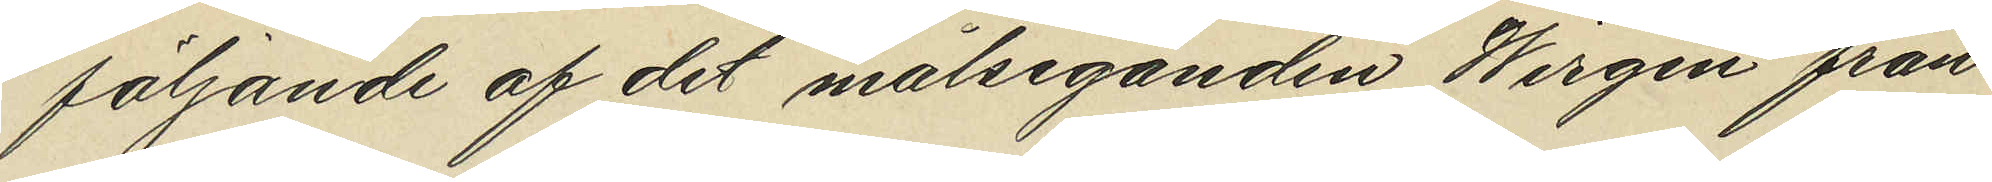följande af det målseganden Wirgin från
